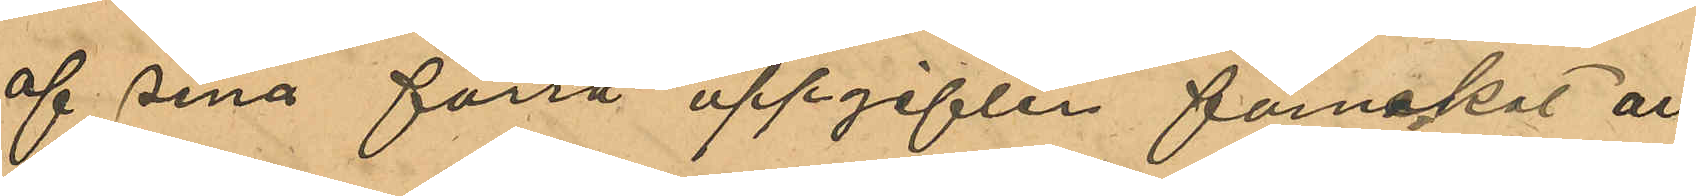af sina förra uppgifter förnekat all
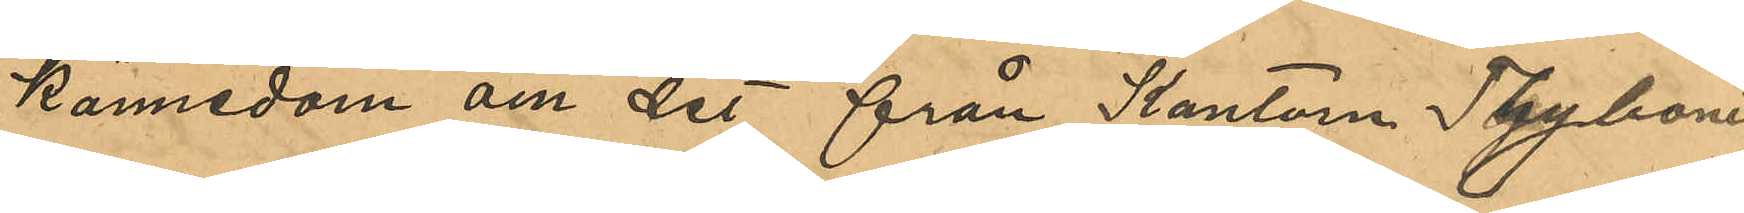kännedom om det från Kantorn Thyboni
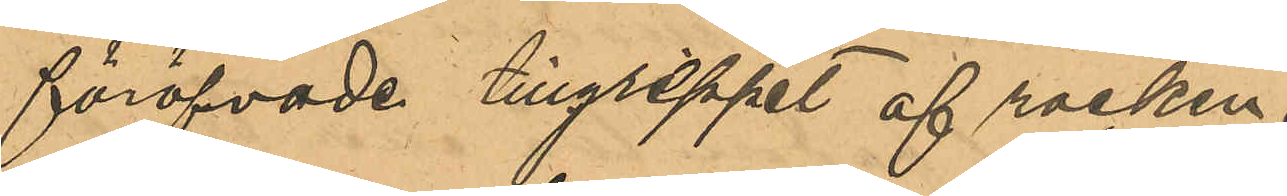föröfvade tillgreppet af rocken.
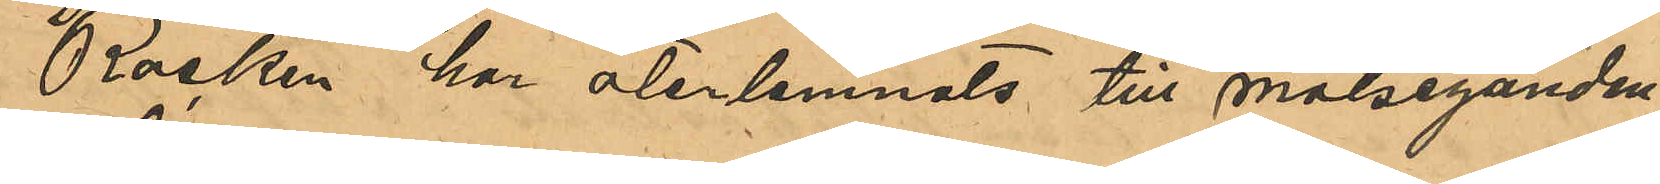Rocken har återlemnats till målseganden.
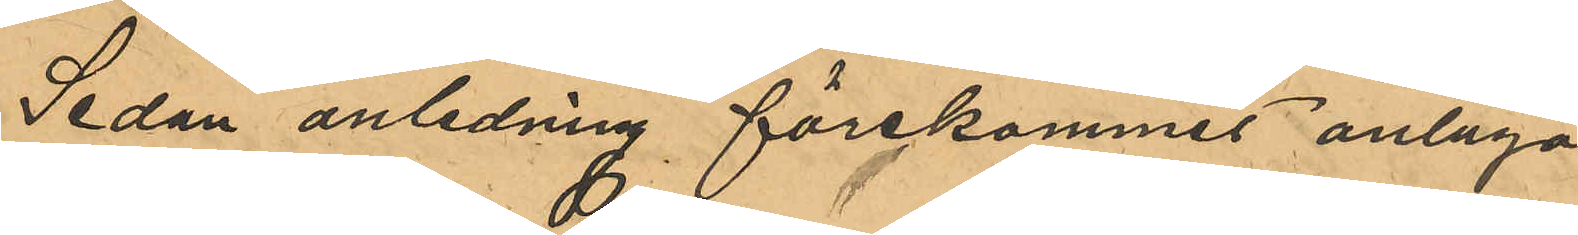Sedan anledning förekommit antaga
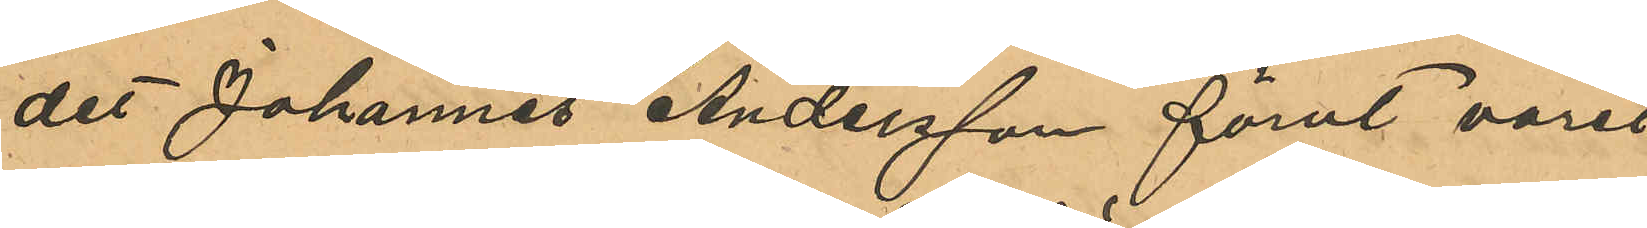det Johannes Andersson förut varit
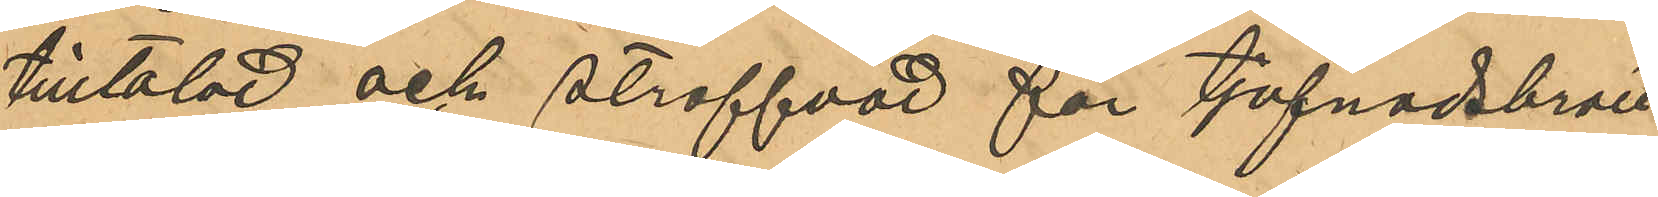tilltalad och straffad för tjufnadsbrott
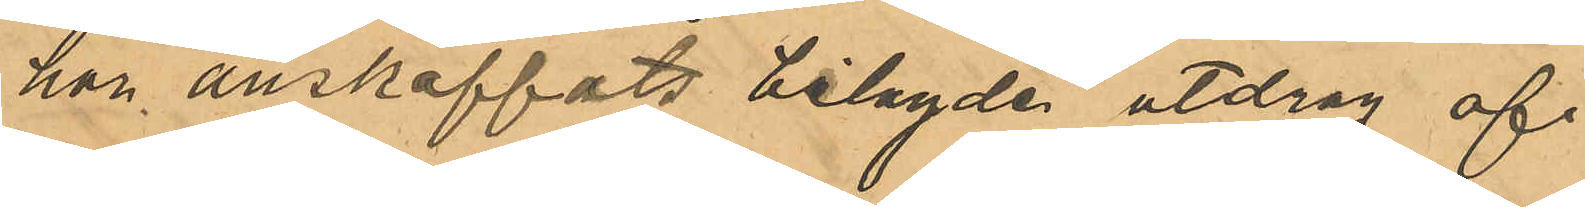har anskaffats bilagda utdrag af
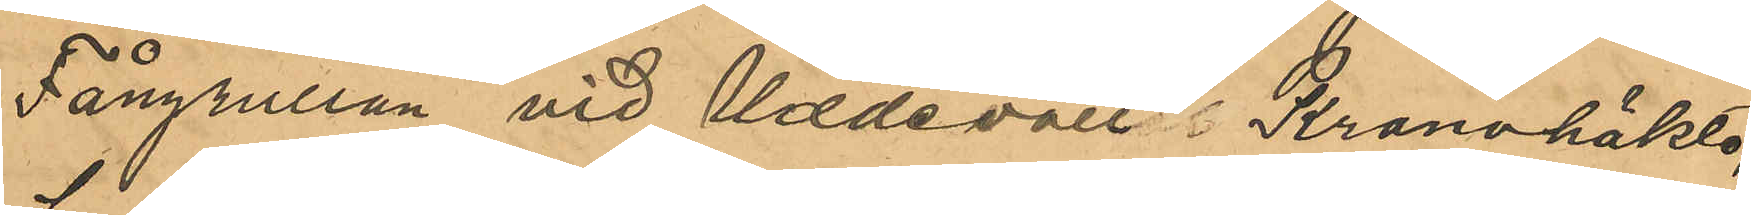Fångrulla vid Uddevalla Kronohäkte,
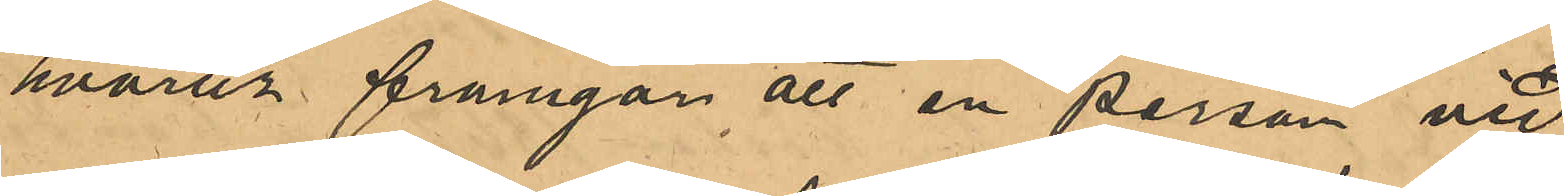hvarur framgår att en person vid
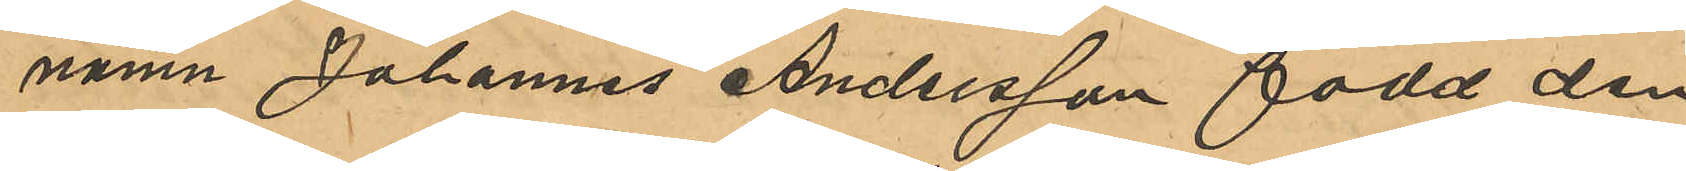namn Johannes Andersson född den
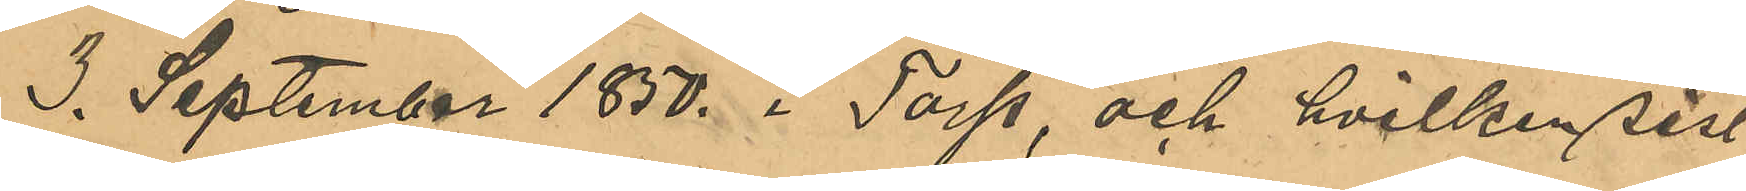3. September 1830. i Torp, och hvilken sist
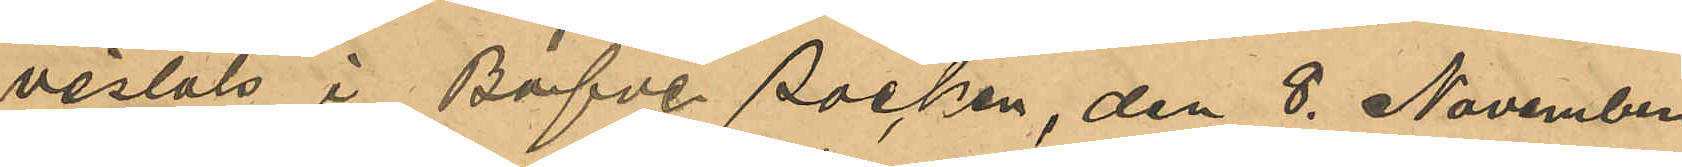vistats i Bäfve socken, den 8. November
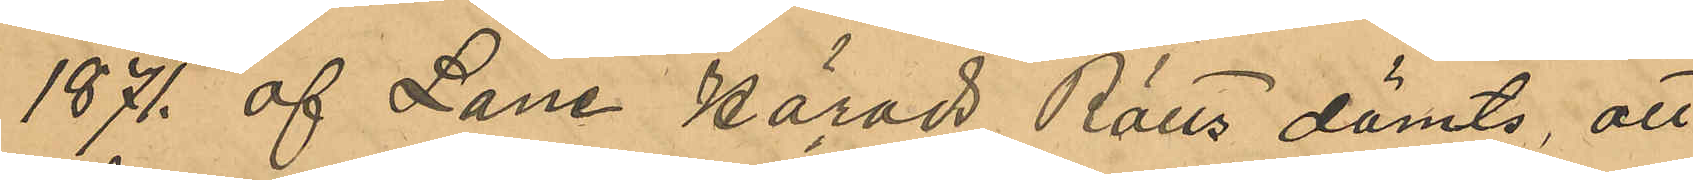1871. af Lane Härads Rätts dömts, att
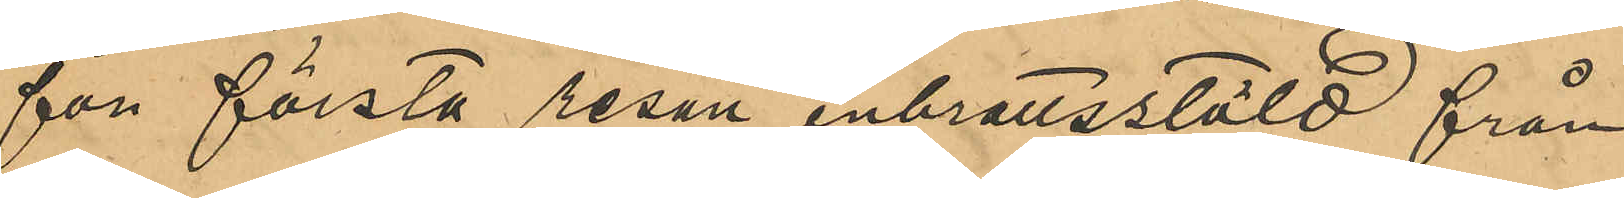för första resan inbrottsstöld från
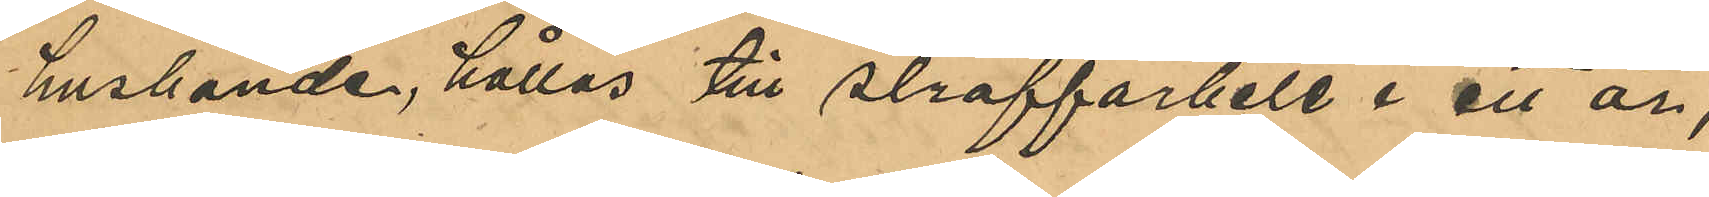husbonde, hållas till straffarbete i ett år,
